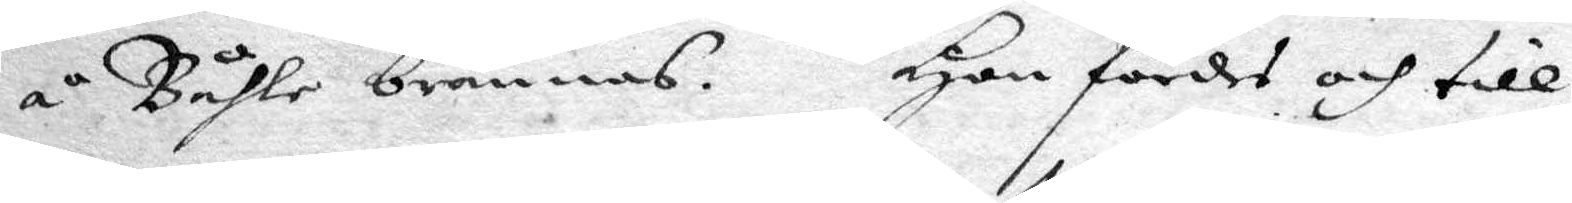å Båhle brännas. Hon fördes och till
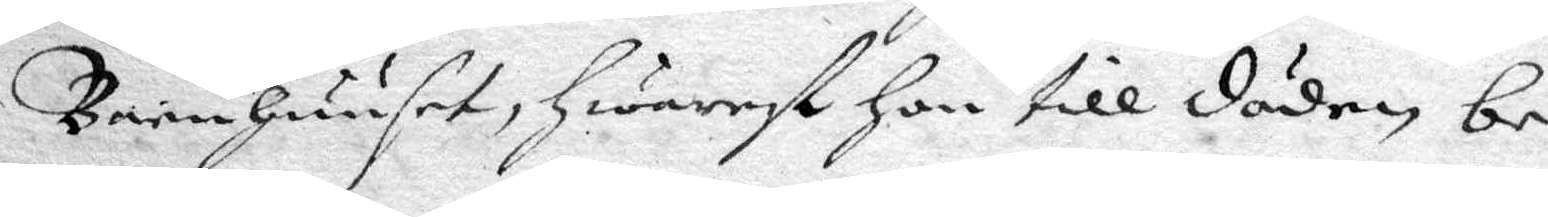Barnhuuser, hwarest hon till döden be¬
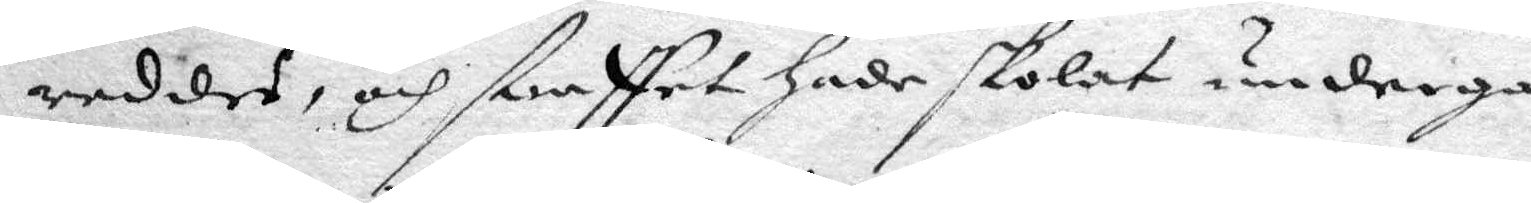redder, och straffet hade skolat undergå,
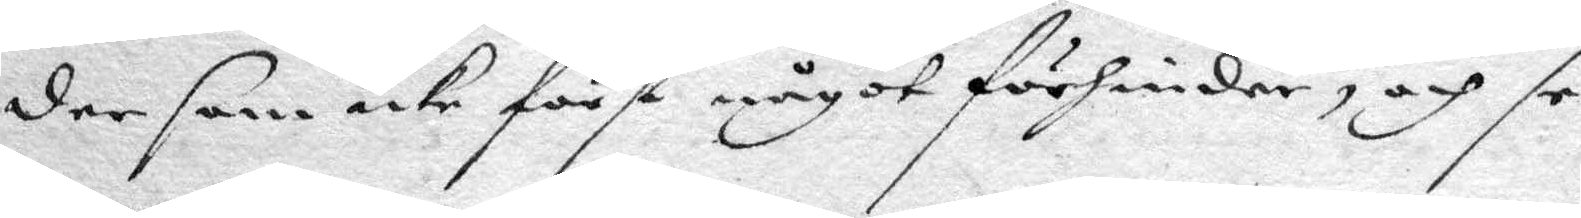der som icke först något förhinder, och se¬
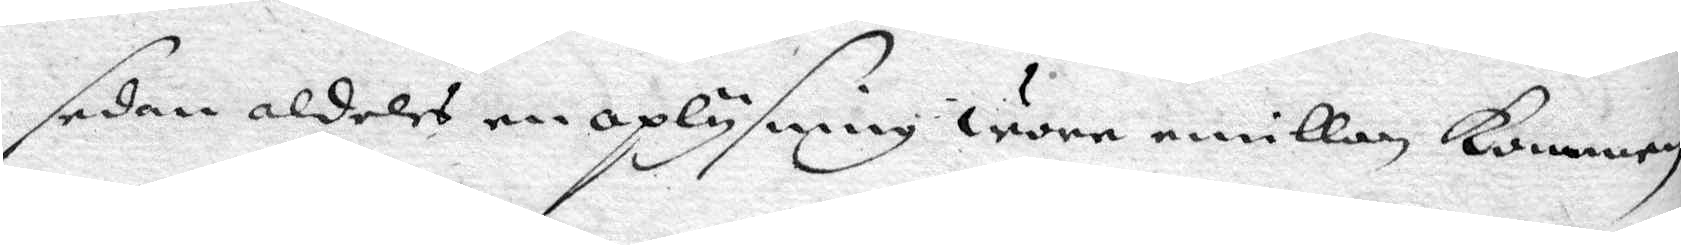sedan aldeles en oplysning wore emillan kommen.
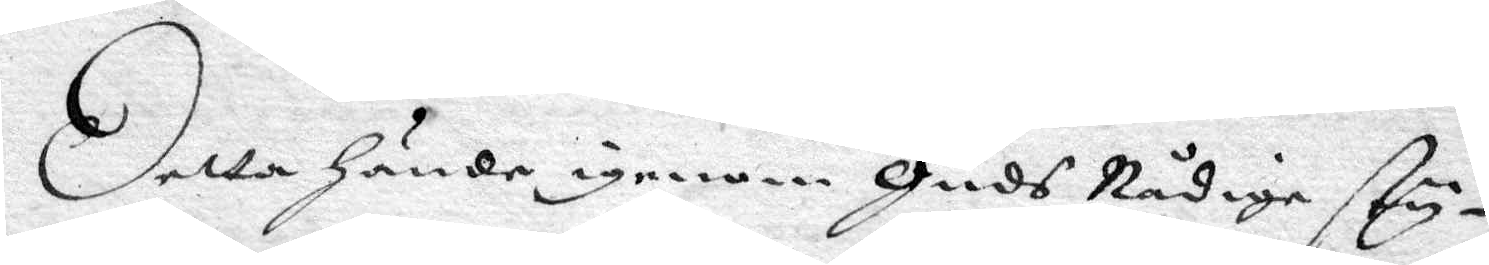Detta hände igenom Guds Nådige sty¬
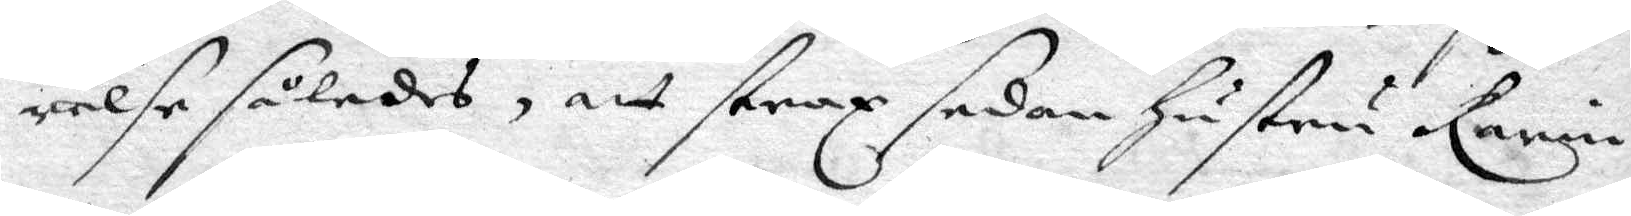relse således, att strax sedan hustru Karin
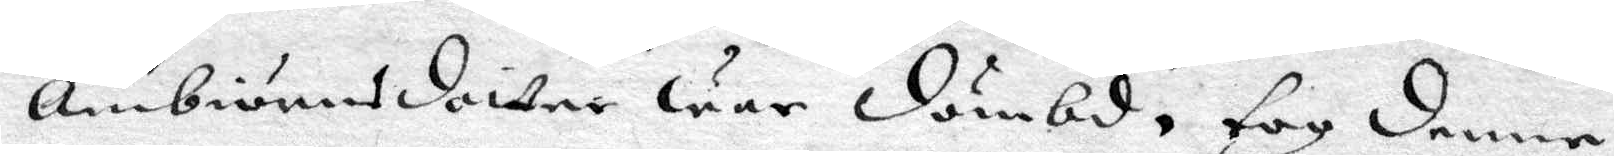Ambiörnsdotter war dömbd, tog denne
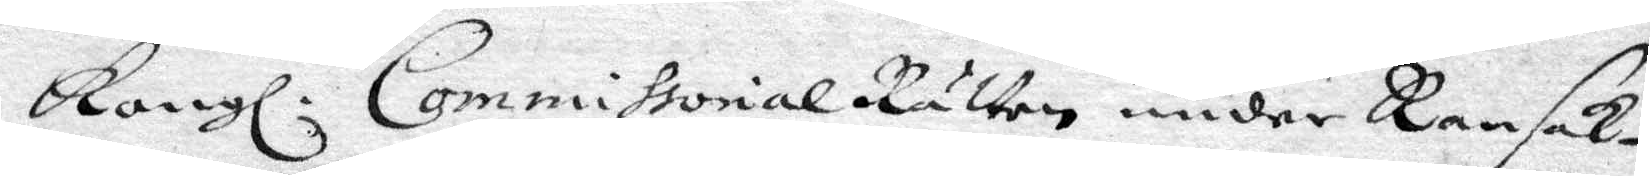Kongl. CommissorialRätten under Ransak¬
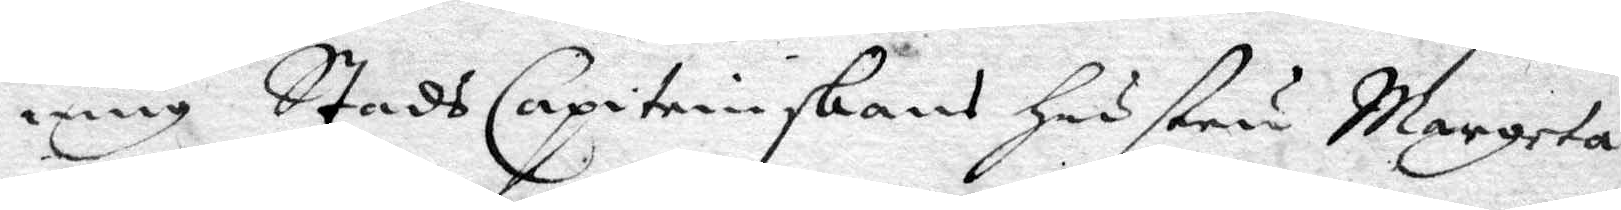ning StadsCapiteinskans hustru Margreta
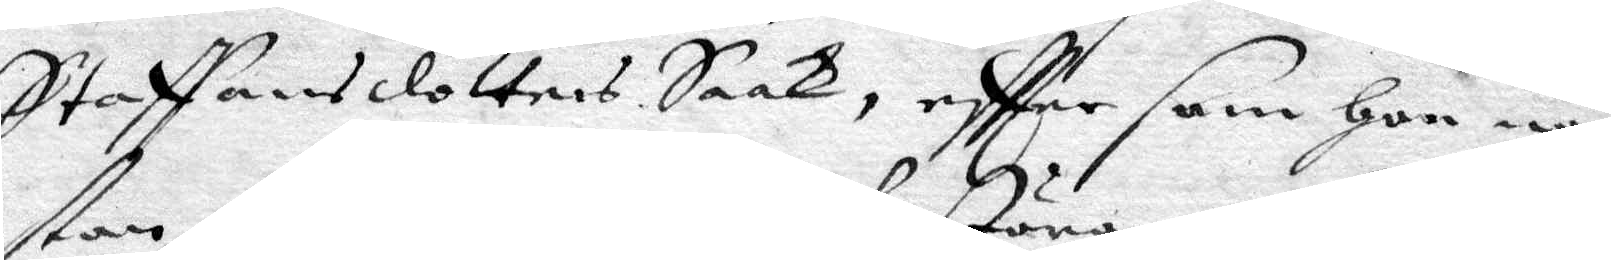Staffansdotters Saak, eftter som hon nä¬
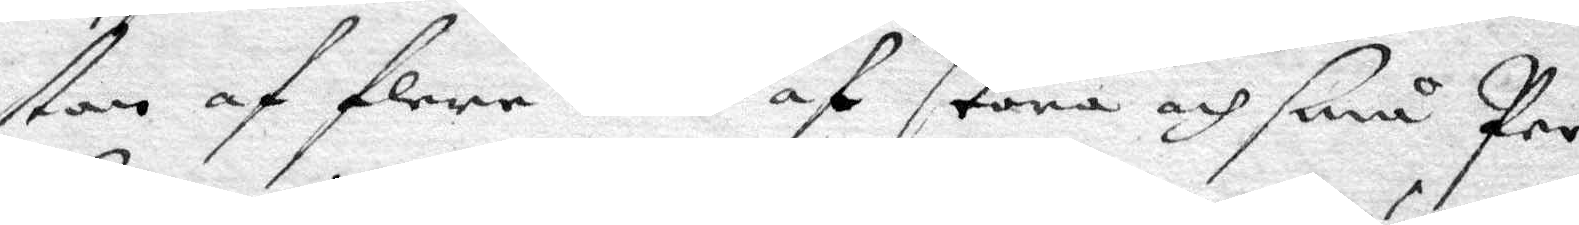stan af flere både af störa och små Per¬
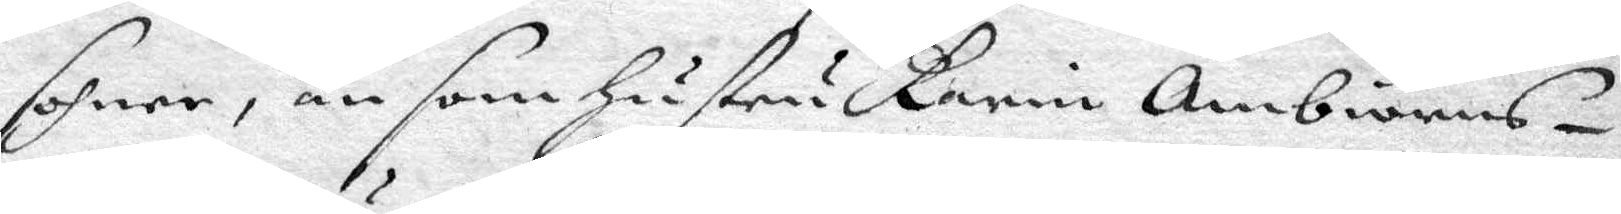sohner, än som hustru Karin Ambiörns¬
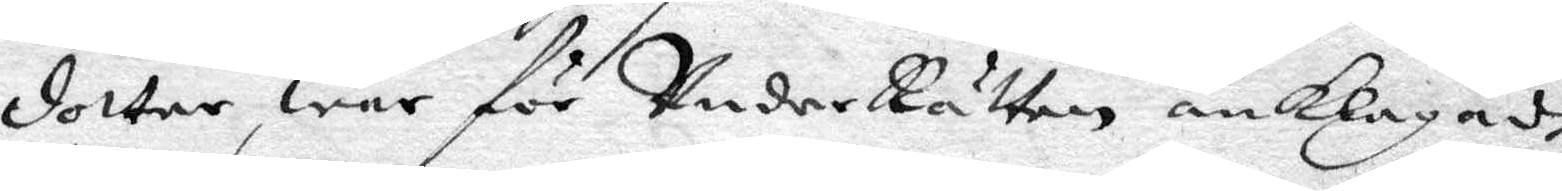dotter, war för UnderRätten anklagadt
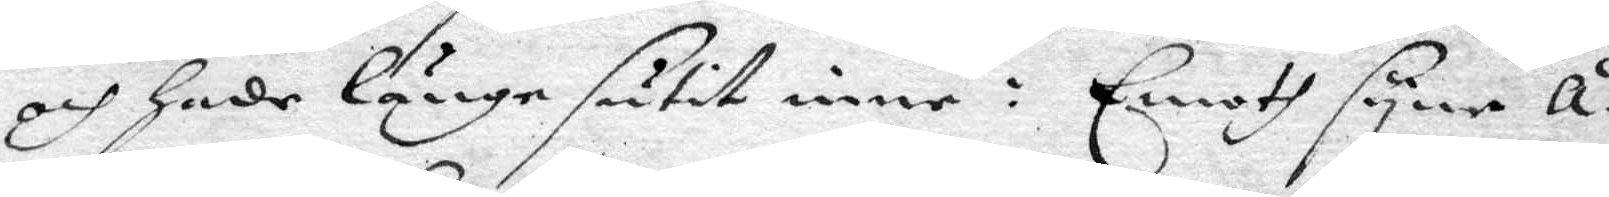och hade länge sutit inne: Emoth syne å¬
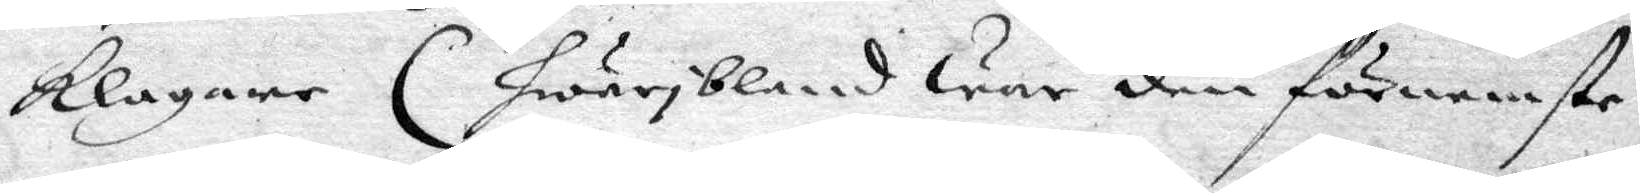klagare (hwaribland war den dörnemste
